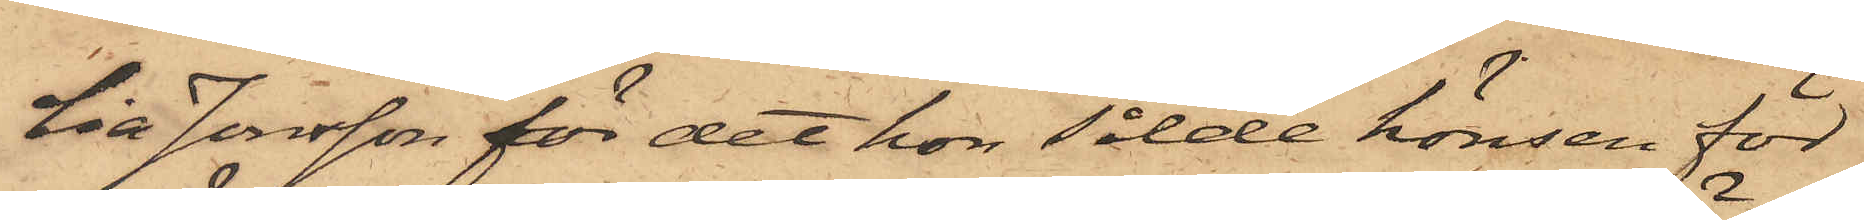lia Jonsson för det hon sålde hönsen för
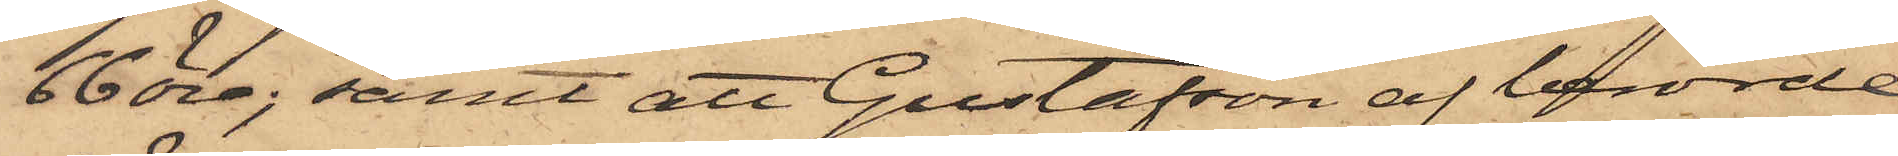66 öre; samt att Gustafson af berörde
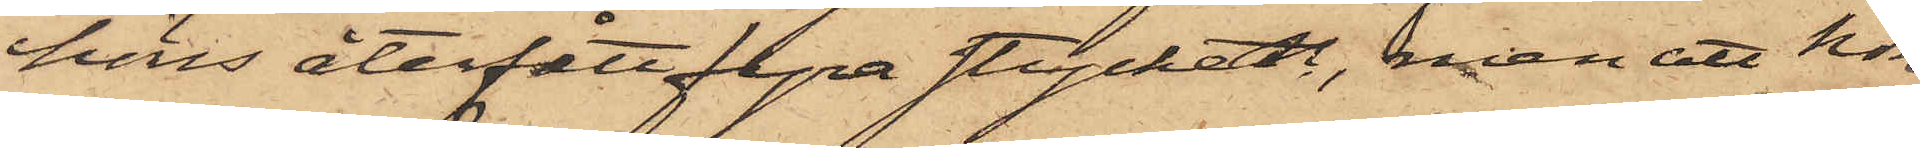höns återfått fyra stycken, men att hon
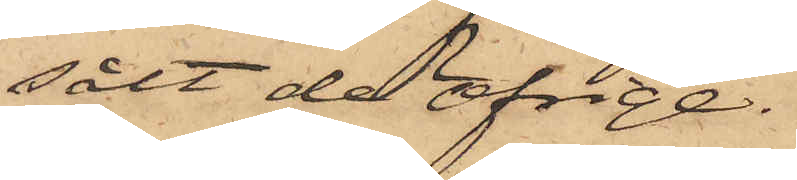sålt de öfrige.
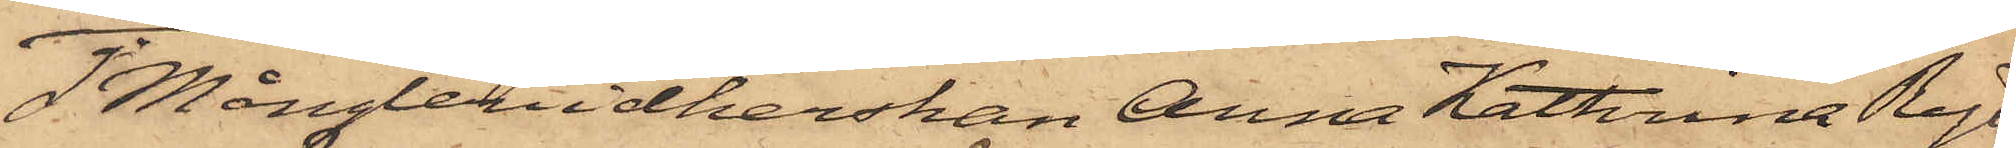2o Mångleriidkerskan Anna Kathrina Ryd¬
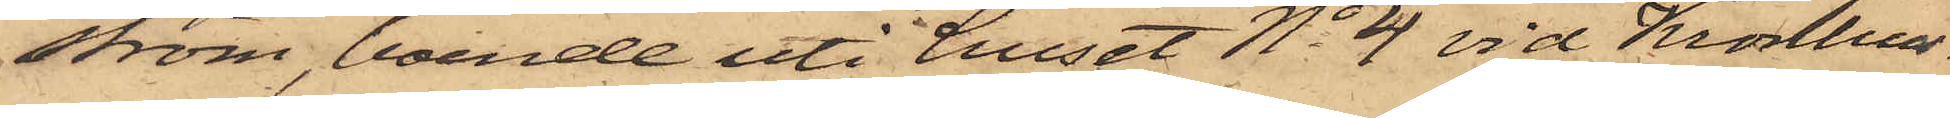ström, boende uti huset No 4 vid Kronhus¬
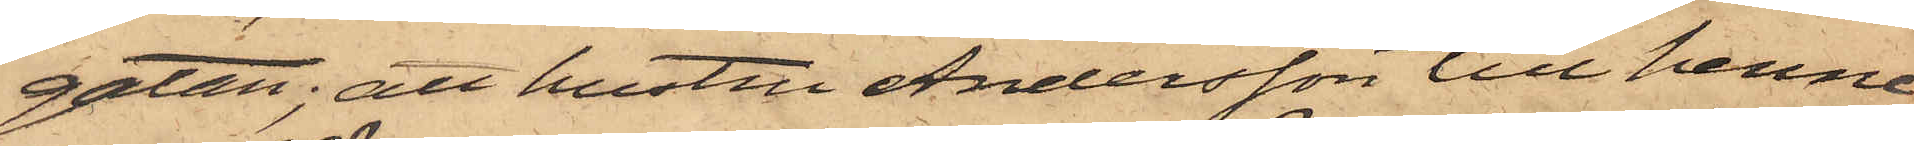gatan; att hustru Andersson till henne
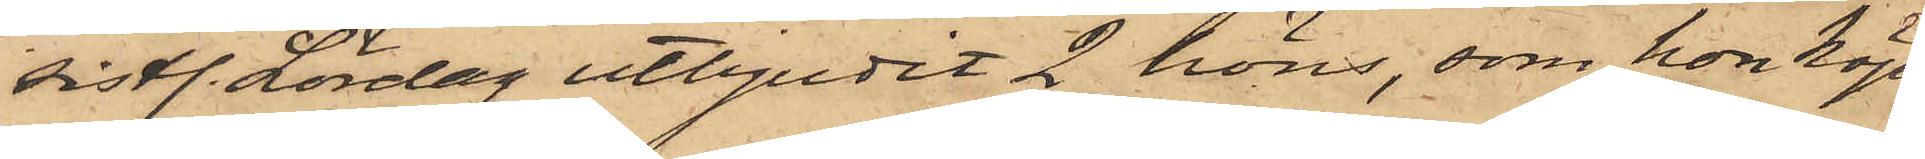sistl. Lördag utbjudit 2 höns, som hon köpt
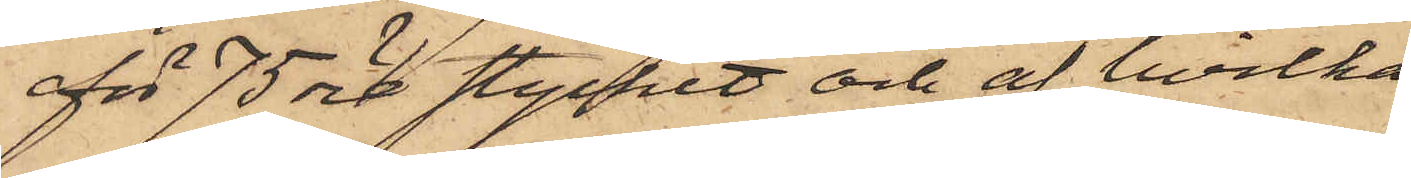för 75 öre stycket och af hvilka
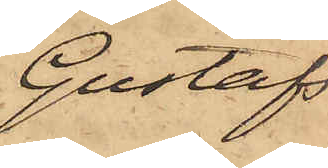Gustafs¬
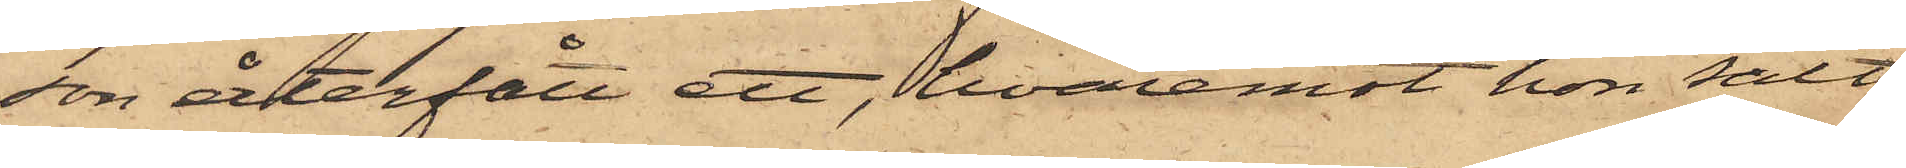son återfått ett, hvaremot hon sålt
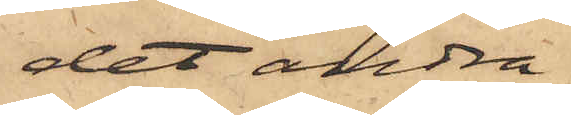det andra.
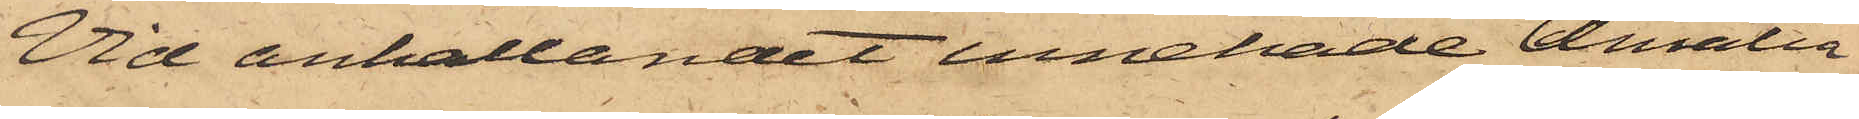Vid anhållandet innehade Amalia
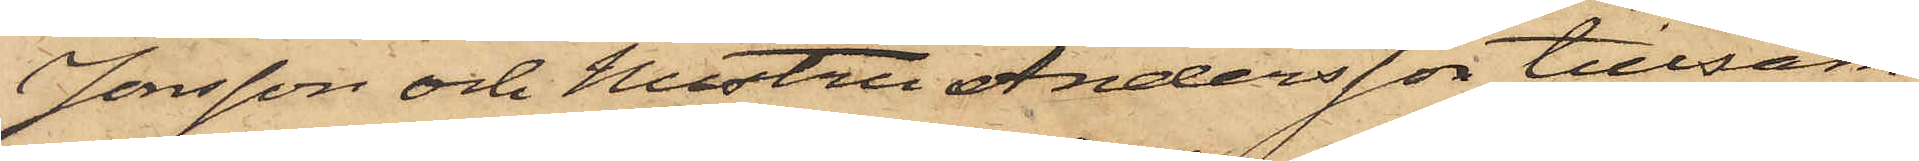Jonsson och Hustru Andersson tillsam¬
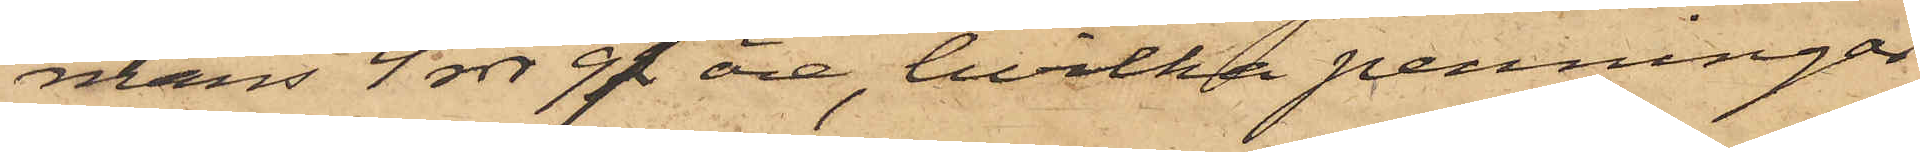mans 4 rdr 97 öre, hvilka penningar
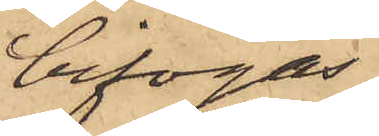bifogas.
